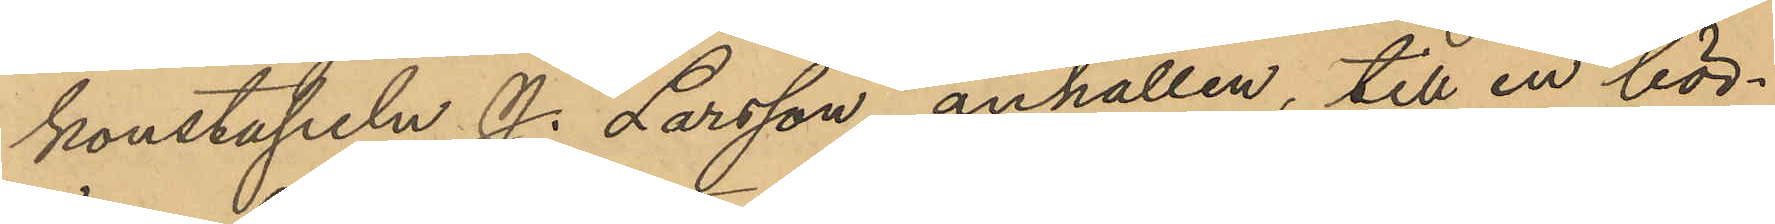konstapeln J. Larsson anhållen, till en bör¬
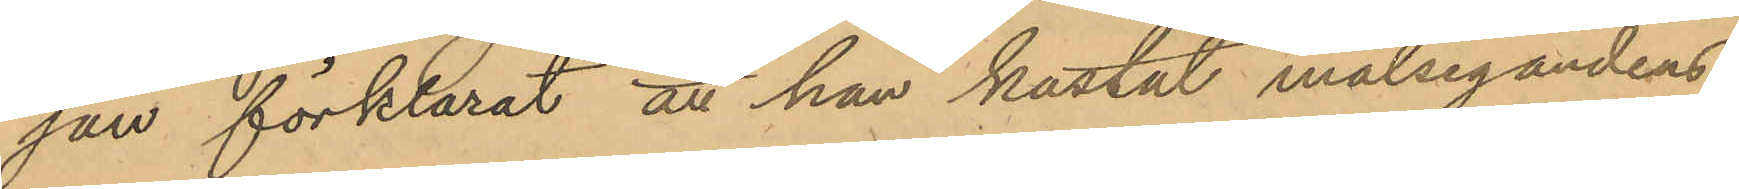jan förklarat att han kastat målsegandens
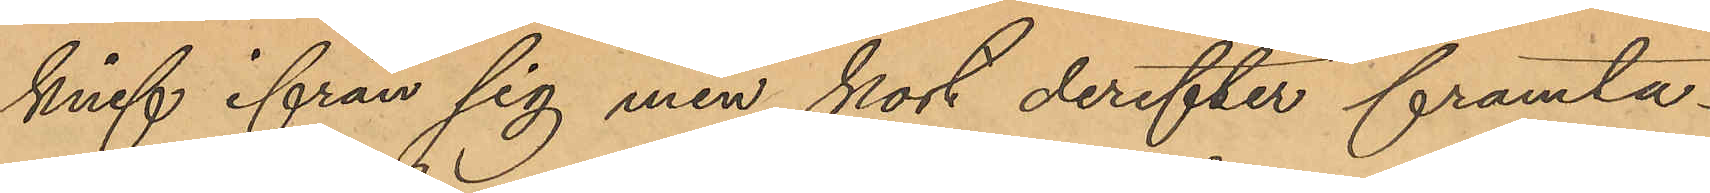knif ifrån sig men kort derefter framta¬
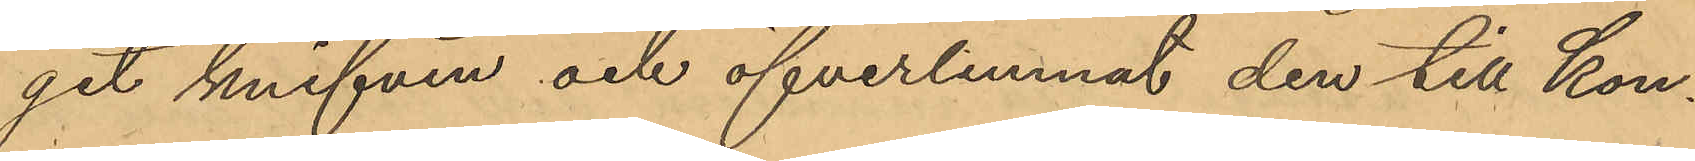git knifven och öfverlemnat den till Kon¬
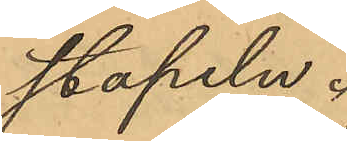stapeln.
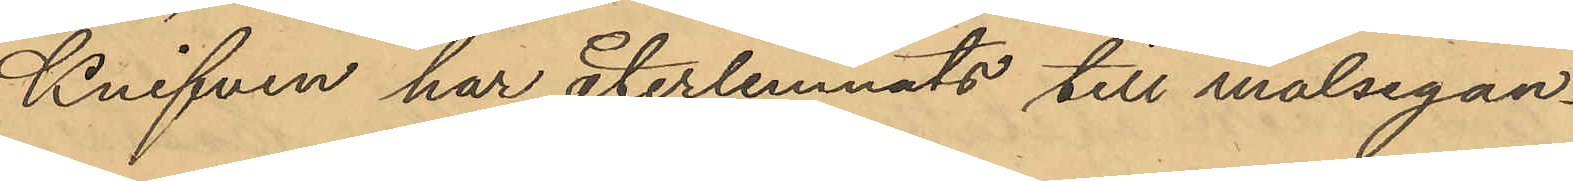Knifven har återlemnats till målsegan¬
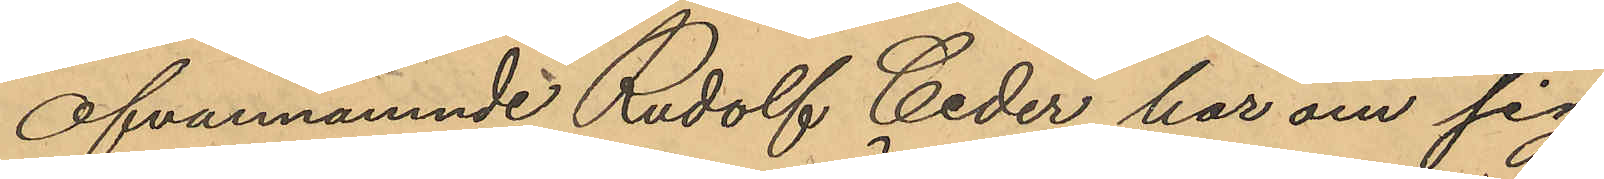Ofvannämnde Rudolf Ceder har om sig
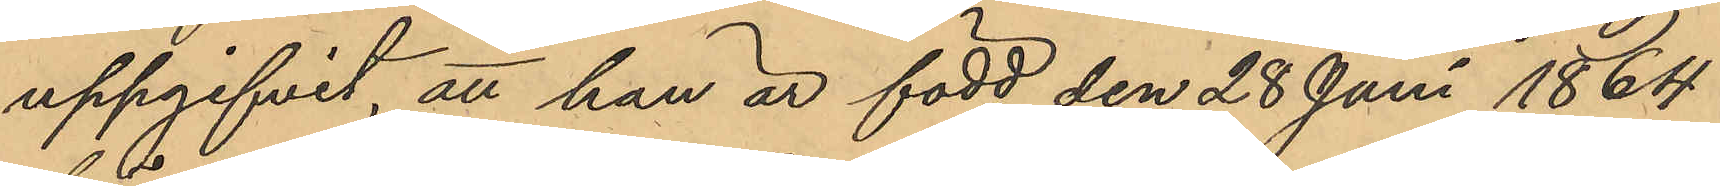uppgifvit, att han är född den 28 Juni 1864
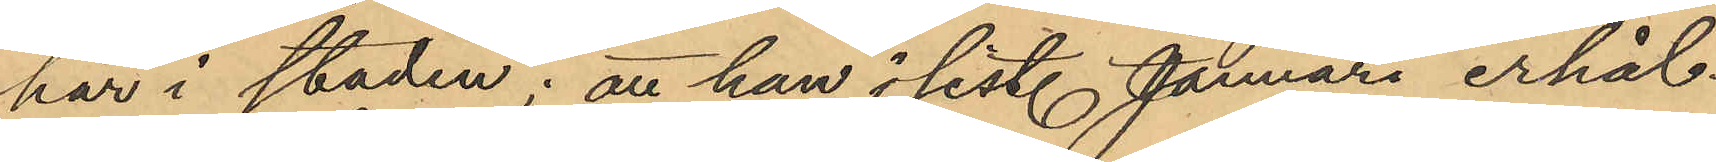här i staden; att han i sist. Januari erhål¬
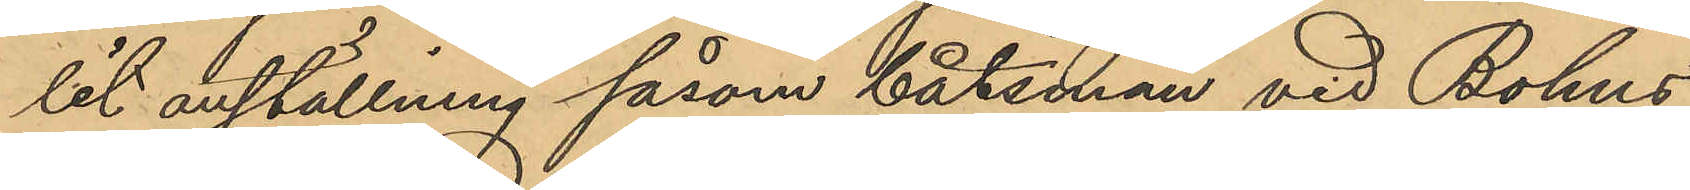lit anställning såsom båtsman vid Bohus
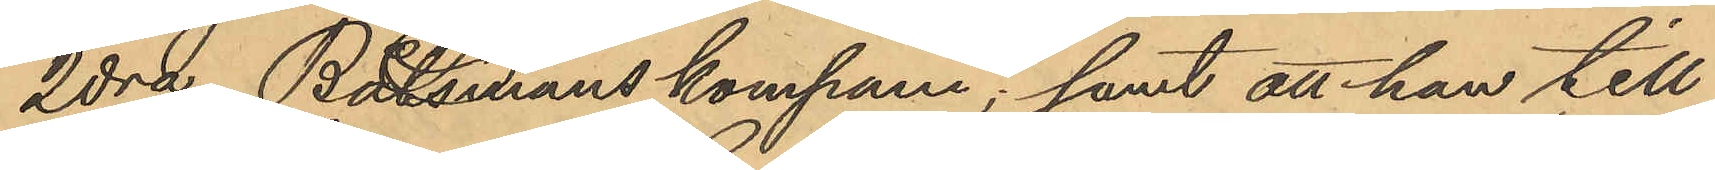2dra Båtsmans kompani; samt att han till¬
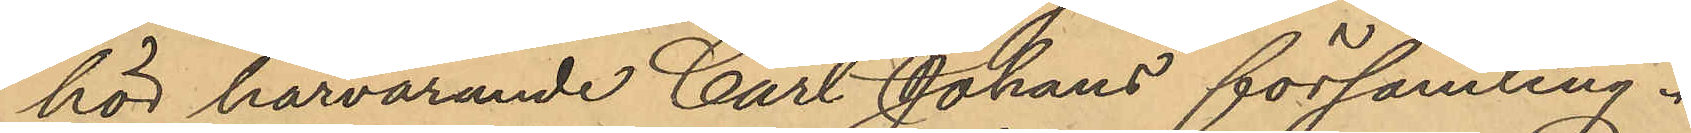hör härvarande Carl Johans församling.
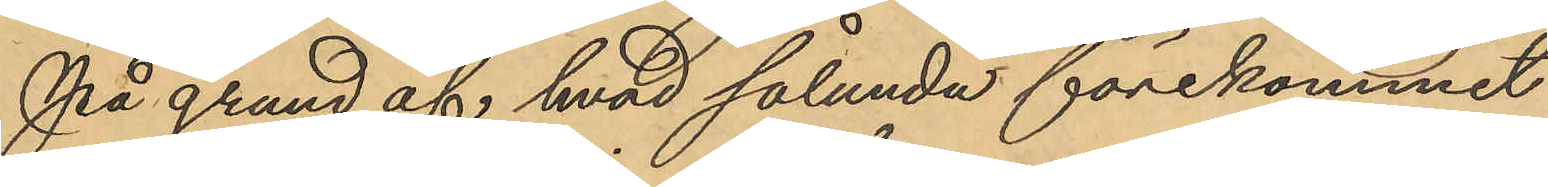På grund af hvad sålunda förekommit
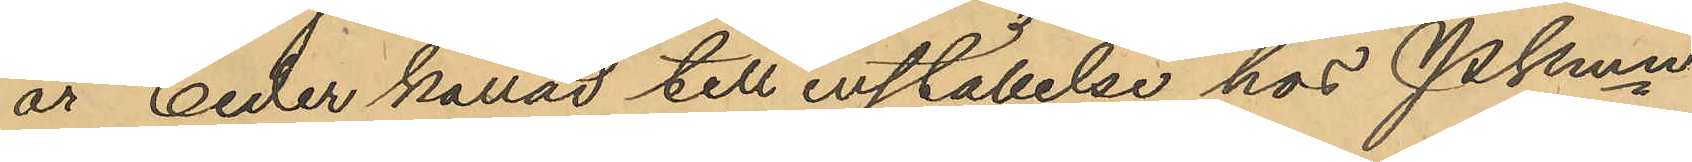är Ceder kallad till inställelse hos Pkmn
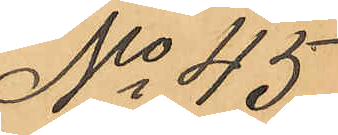No 45
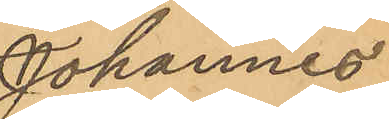Johannes
